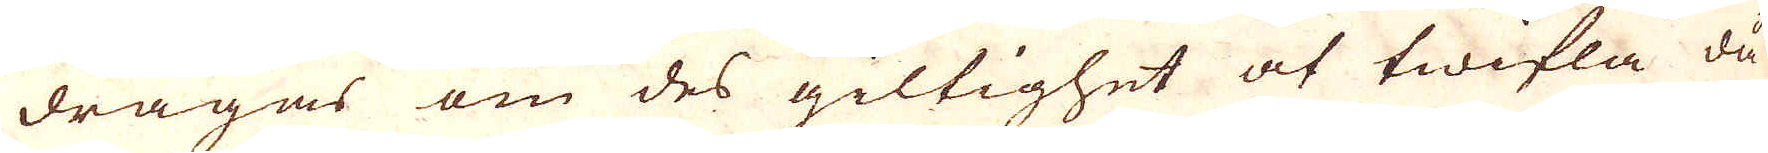dragas om des giltighet at twifla då
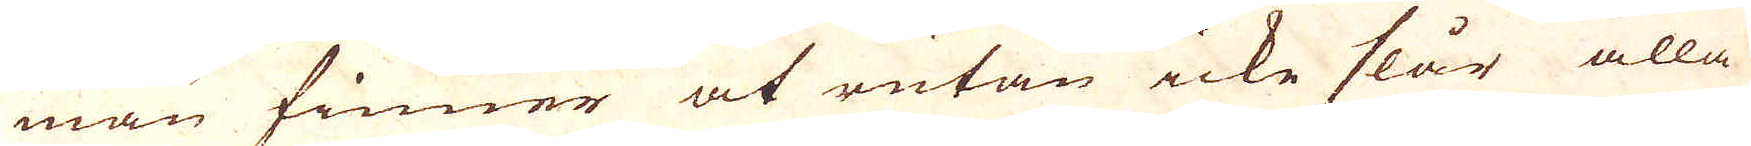man finner at rutan icke slår alla
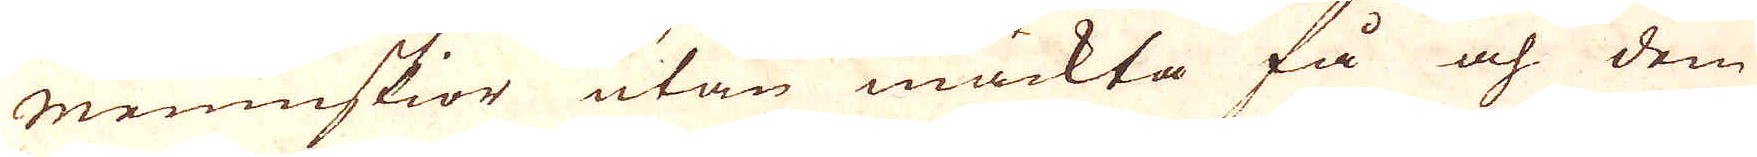Menniskior utan mäckta få och dem
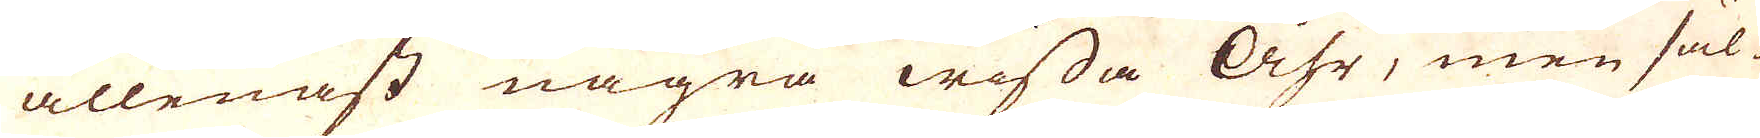allenast några wissa Åhr, men säl-
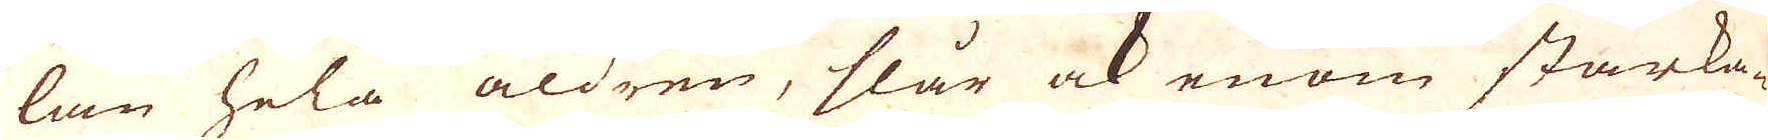lan hela åldren, slår ock enom starka-
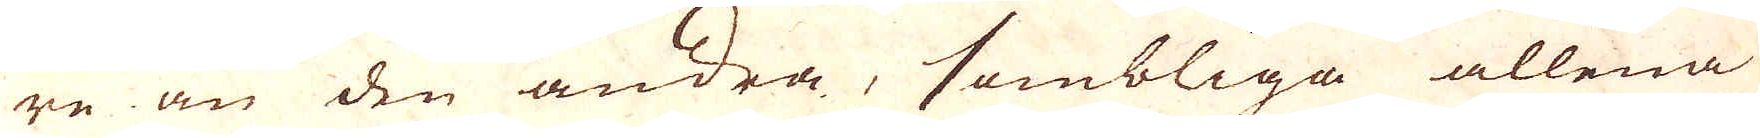re än den andra, sombliga allena
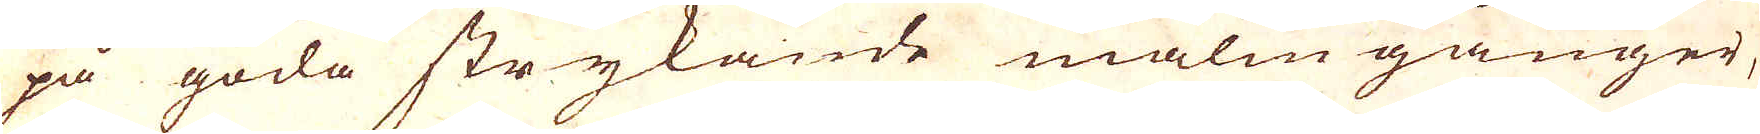på goda strykande malm gånger,
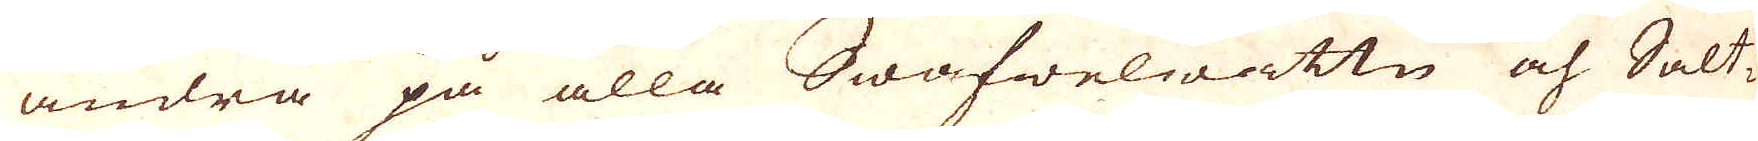andra på alla Swafwelwattn och Salt-
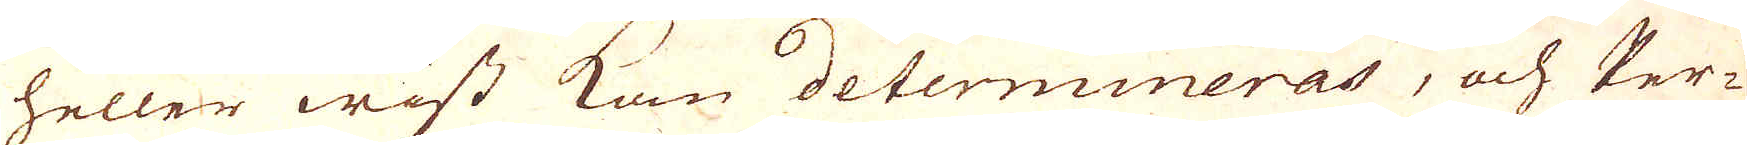heller wist kan determineras, och Per-
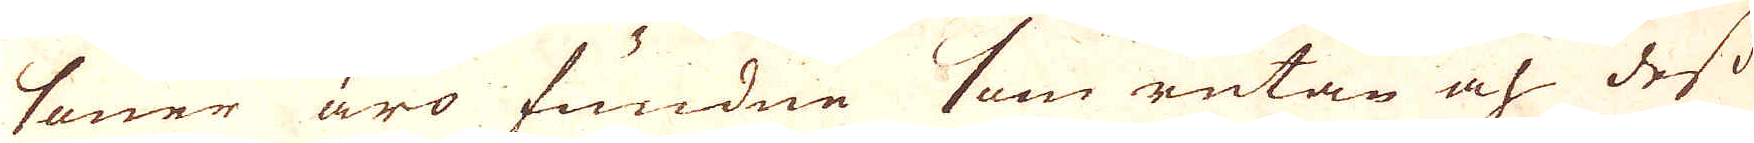soner äro fundne som rutan och dess
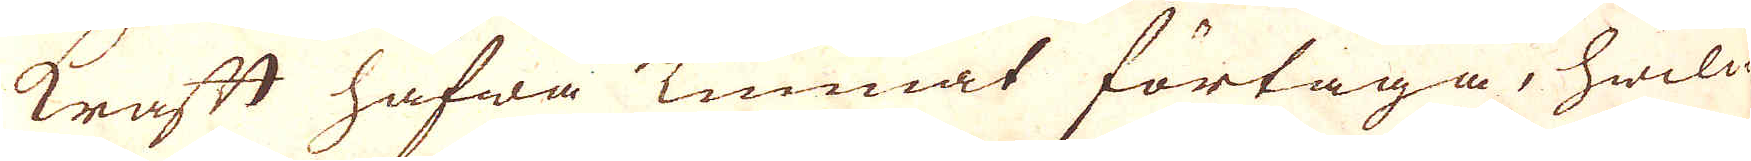kraft hafwa kunnat förtaga, hwil-
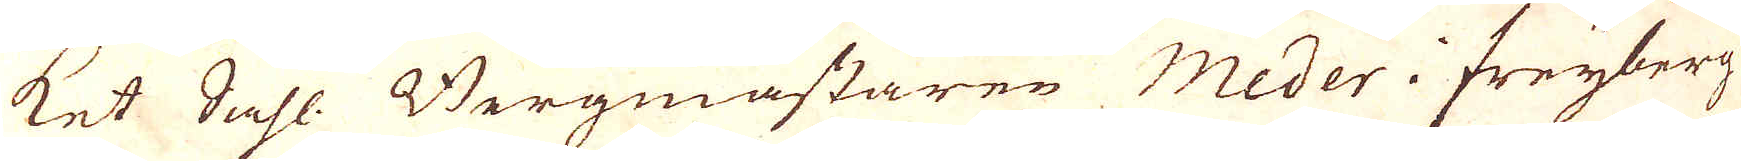ket Sahl. Bergmästaren Meder i Freyberg
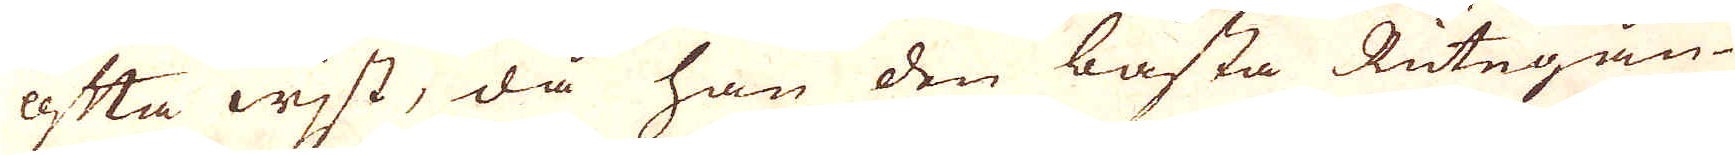ofta wist, då han den bästa Rutegån-
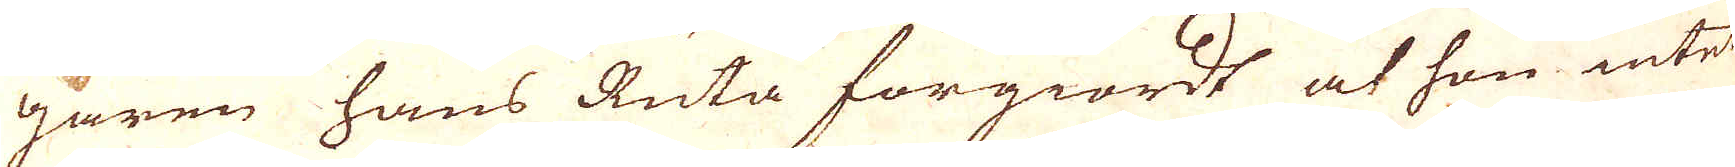garen hans Ruta förgiordt at hon intet
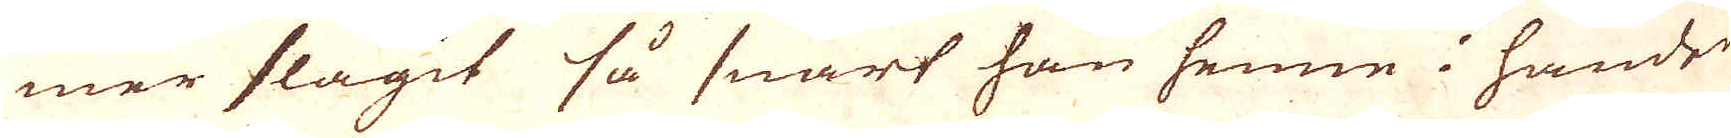mer slagit så snart han henne i handen
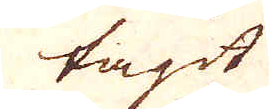tagit
